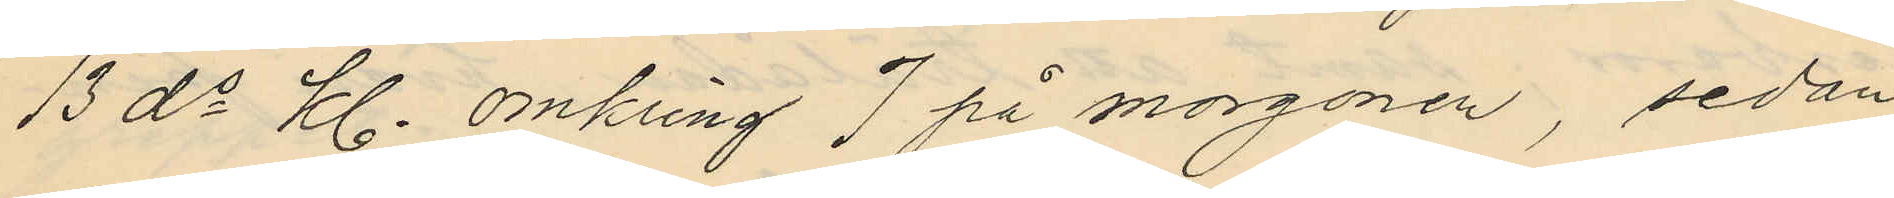13 ds Kl. omkring 7 på morgonen, sedan
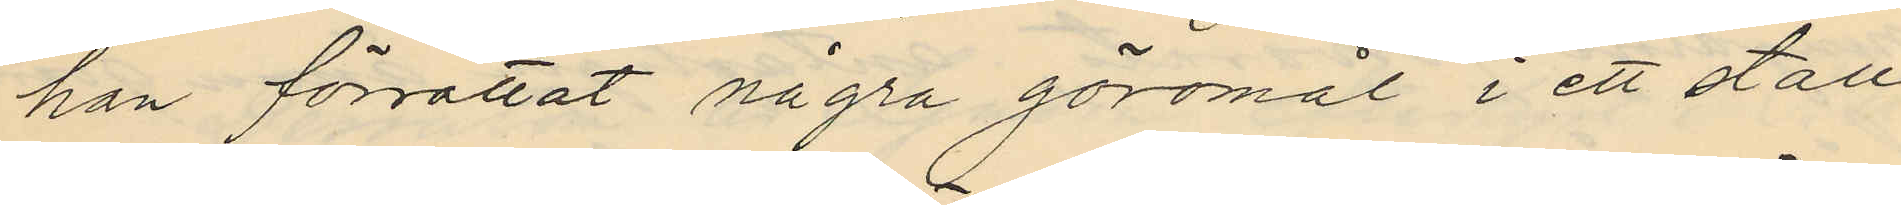han förrättat några göromål i ett stall
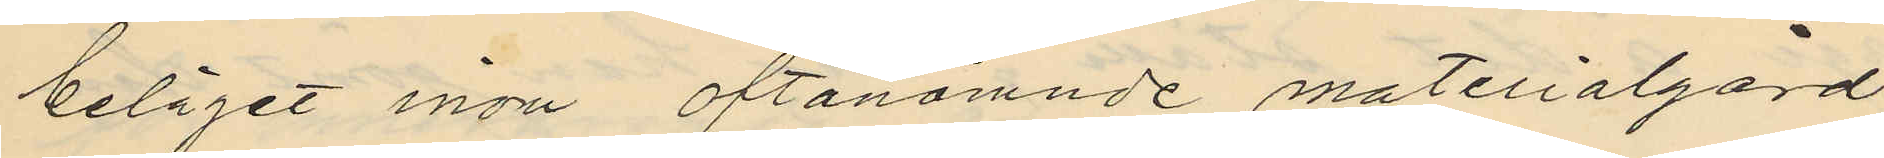beläget inom oftanämnde materialgård
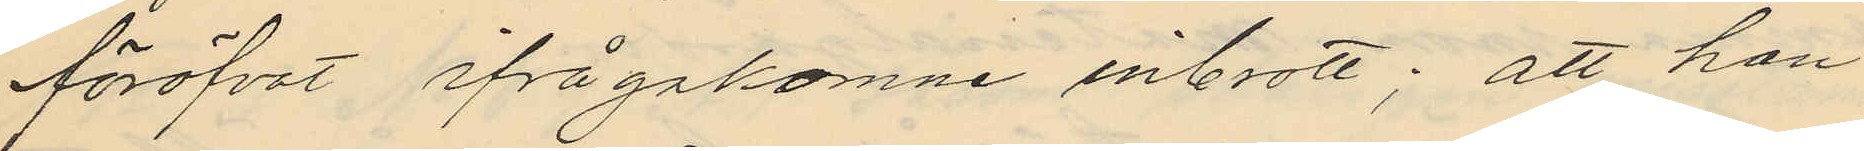föröfvat ifrågakomne inbrott; att han
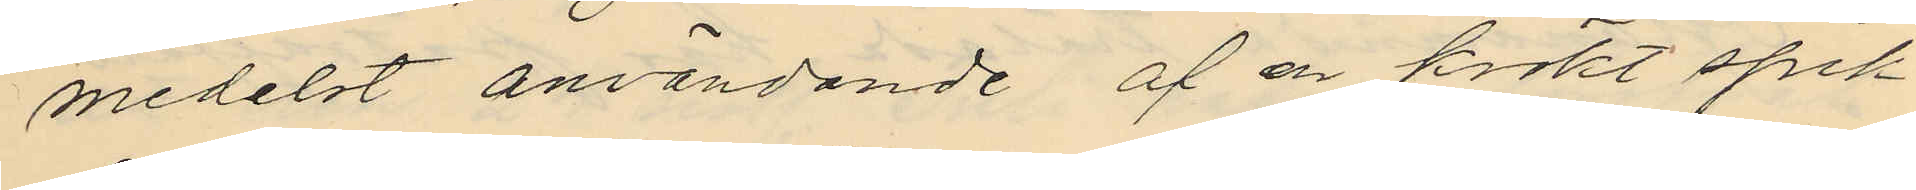medelst användande af en krökt spik
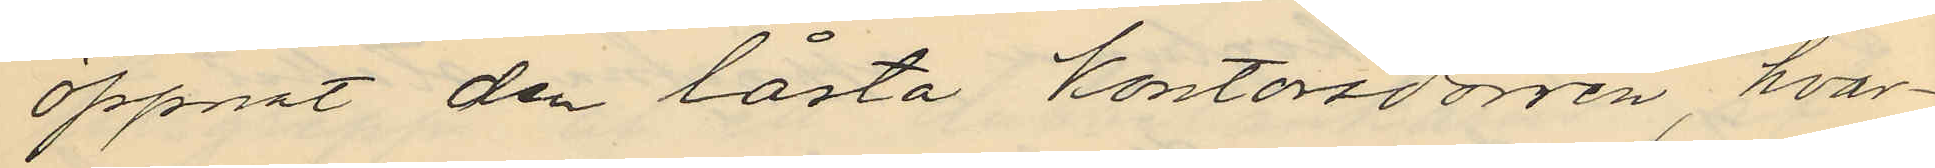öppnat den låsta kontorsdörren, hvar¬
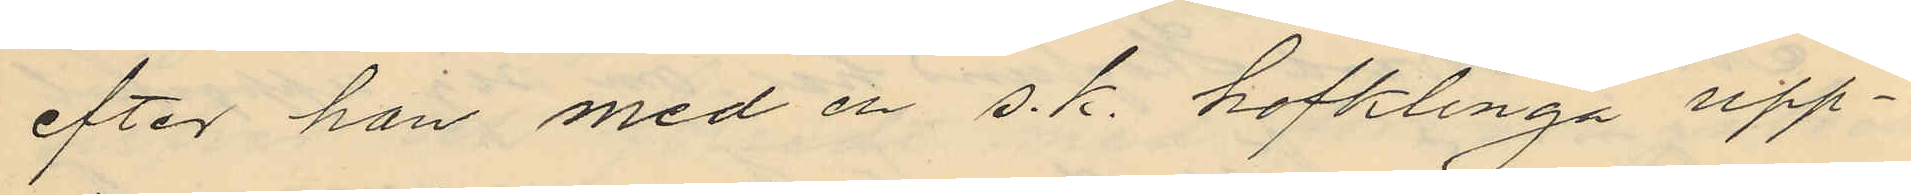efter han med en s. k. hofklinga upp¬
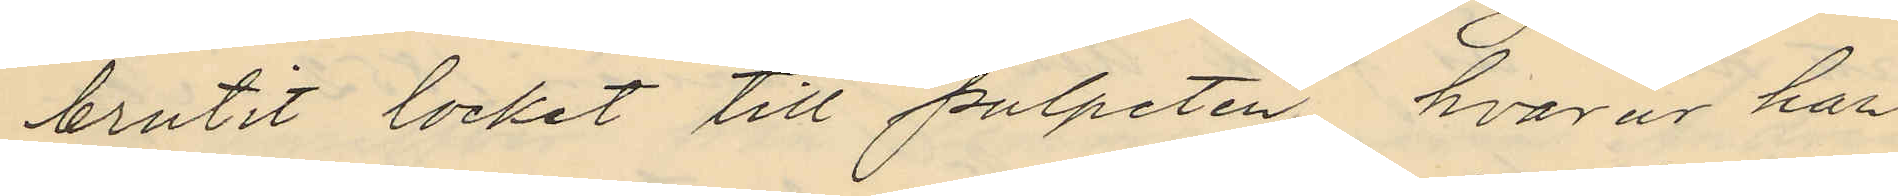brutit locket till pulpeten, hvarur han
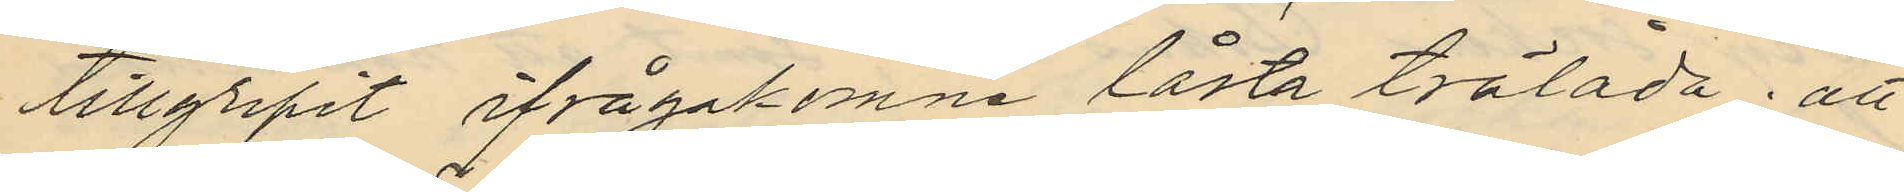tillgripit ifrågakomne låsta trälåda; att
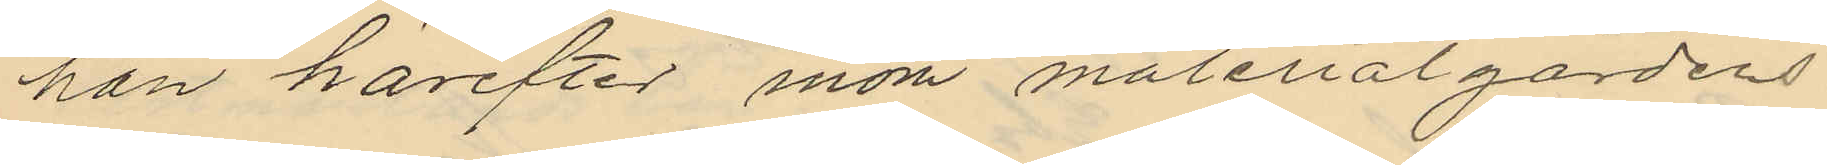han härefter inom materialgårdens
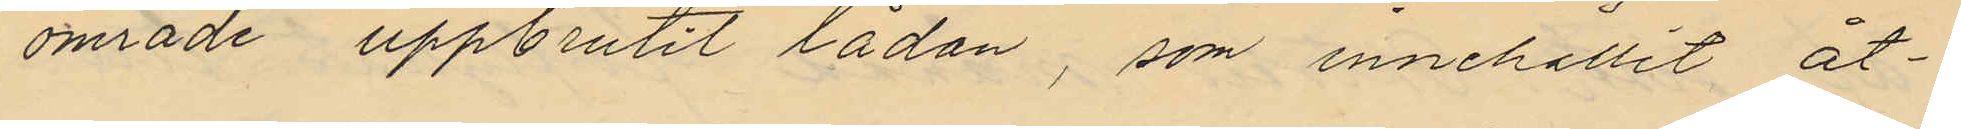område uppbrutit lådan, som innehållit åt¬
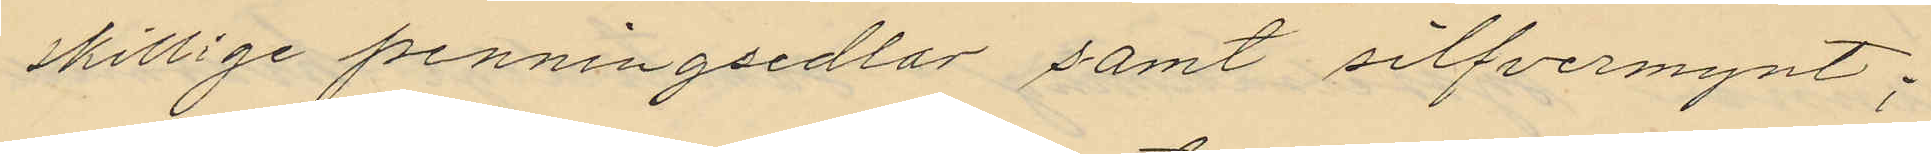skillige penningsedlar samt silfvermynt;
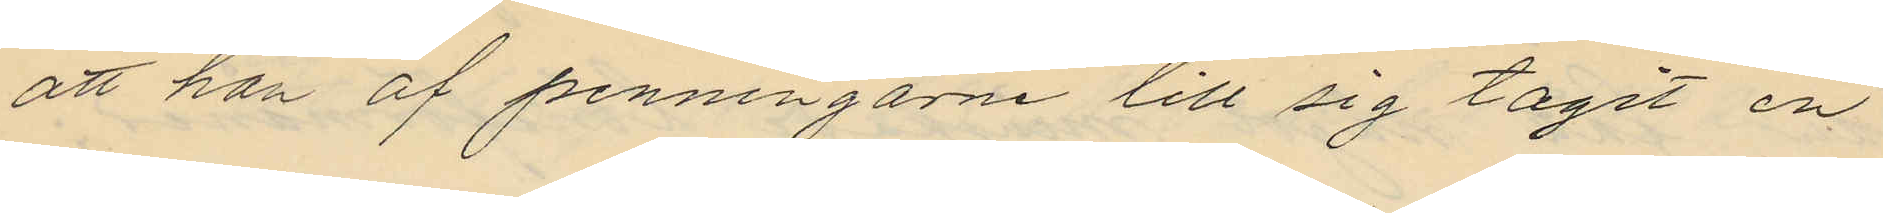att han af penningarne till sig tagit en
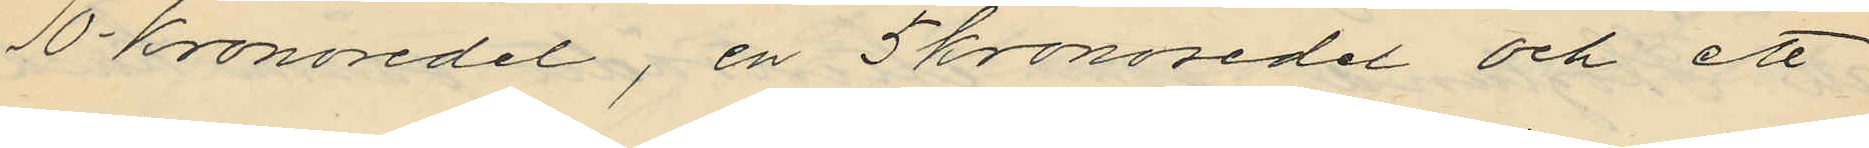10-kronosedel, en 5kronosedel och ett
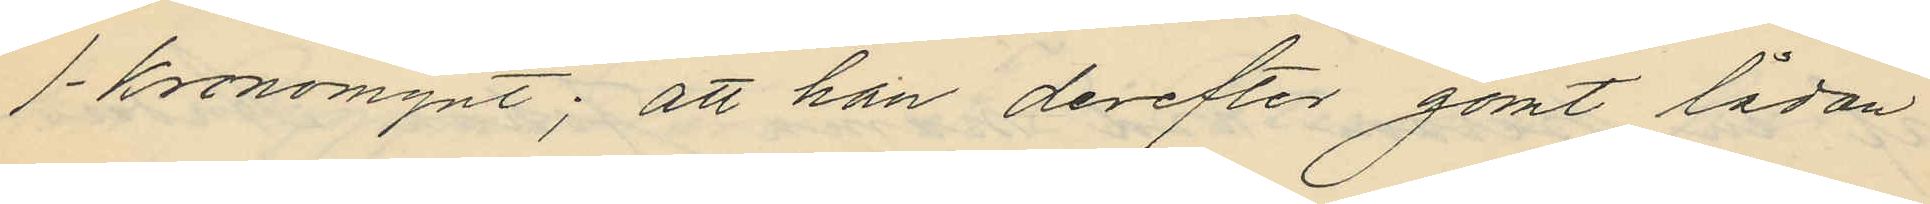1-kronomynt; att han derefter gömt lådan
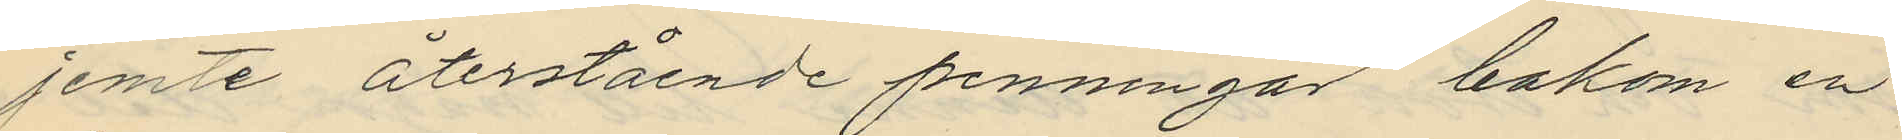jemte återstående penningar bakom en
